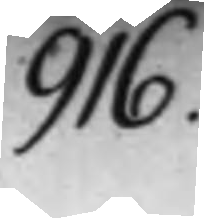916.
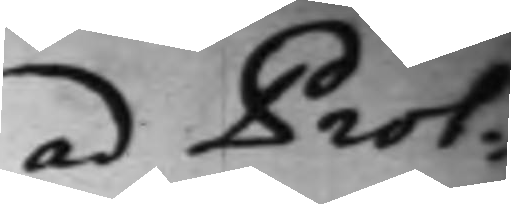ad Prot:
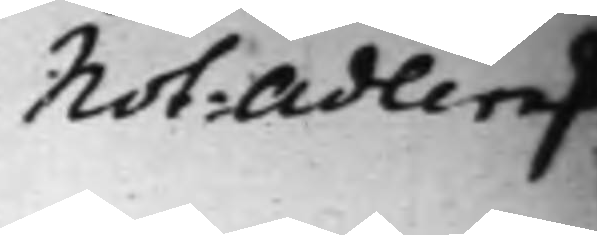Not: Adlers
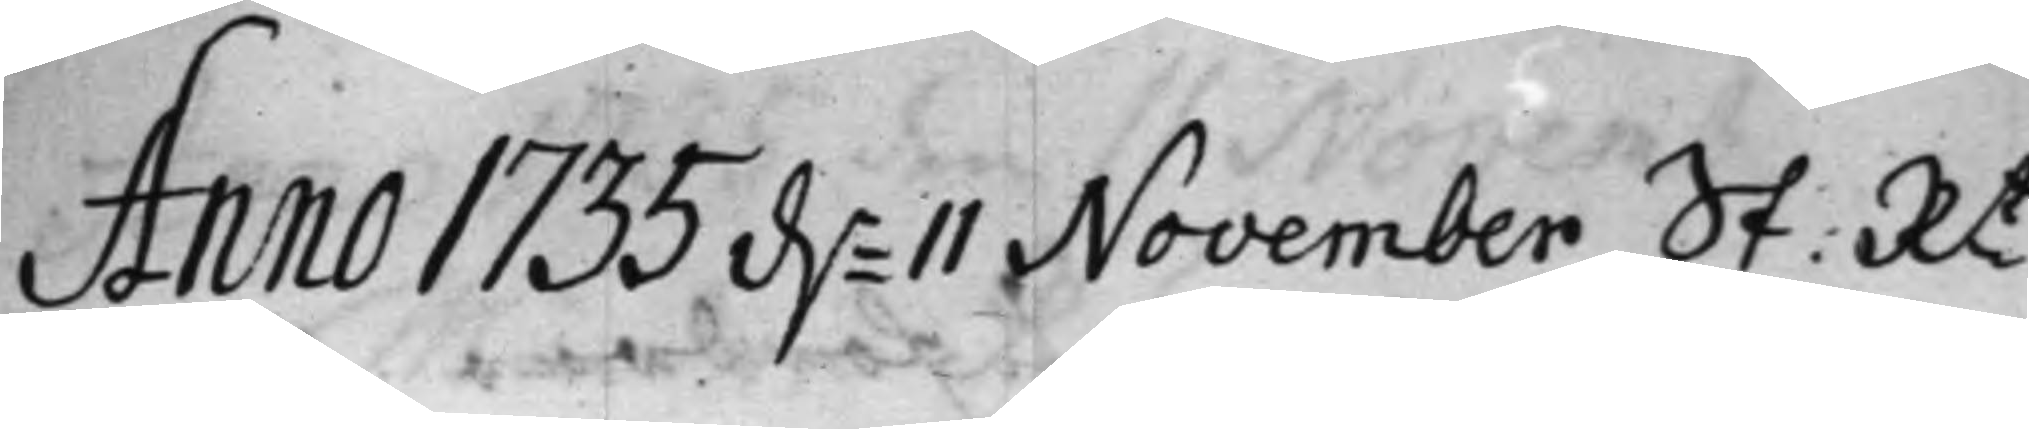Anno 1735 d.n 11 November St: Rt
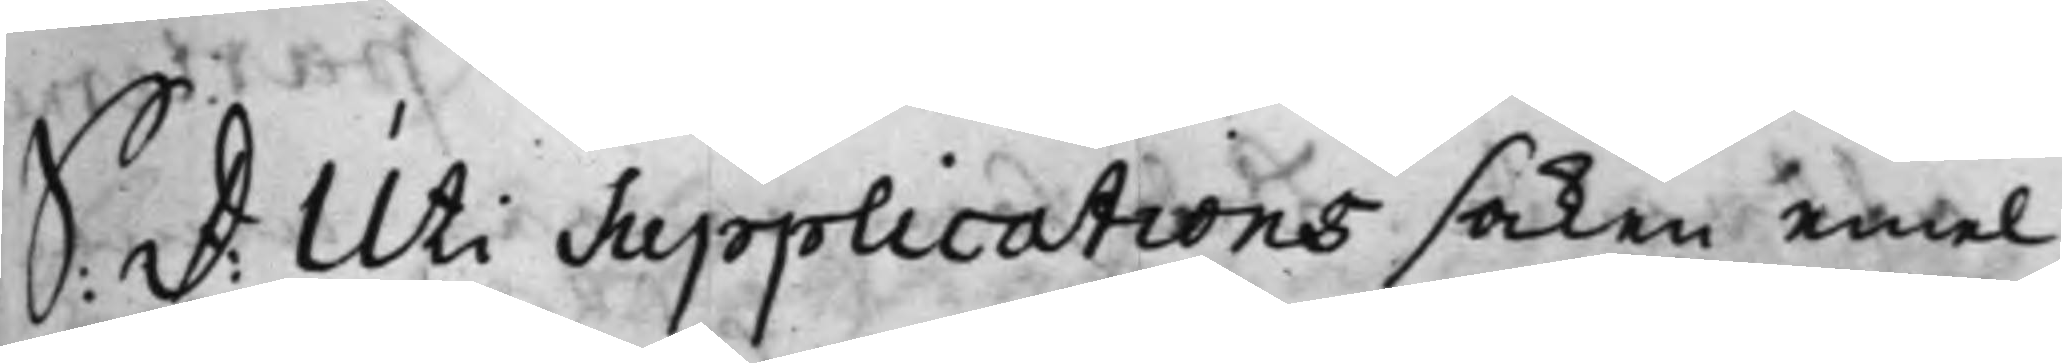S: D: Uti Supplications saken emel¬
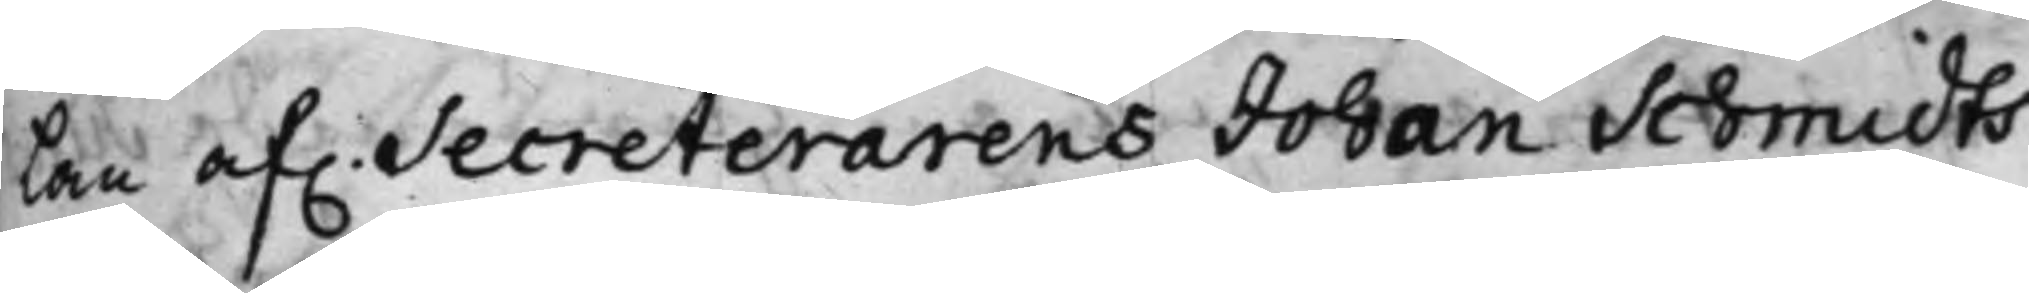lan af. Secreterarens Johan Schmidts
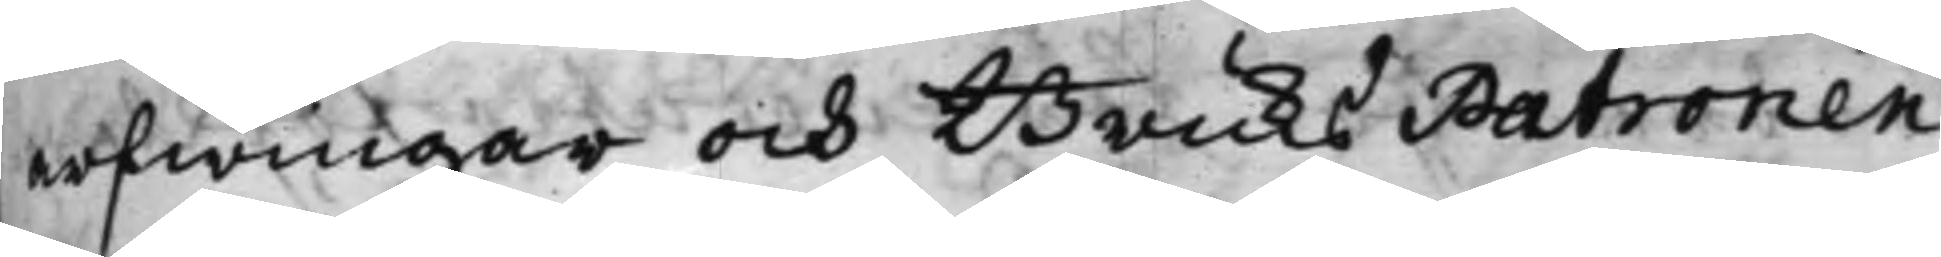arfwingar och Bruks Patronen
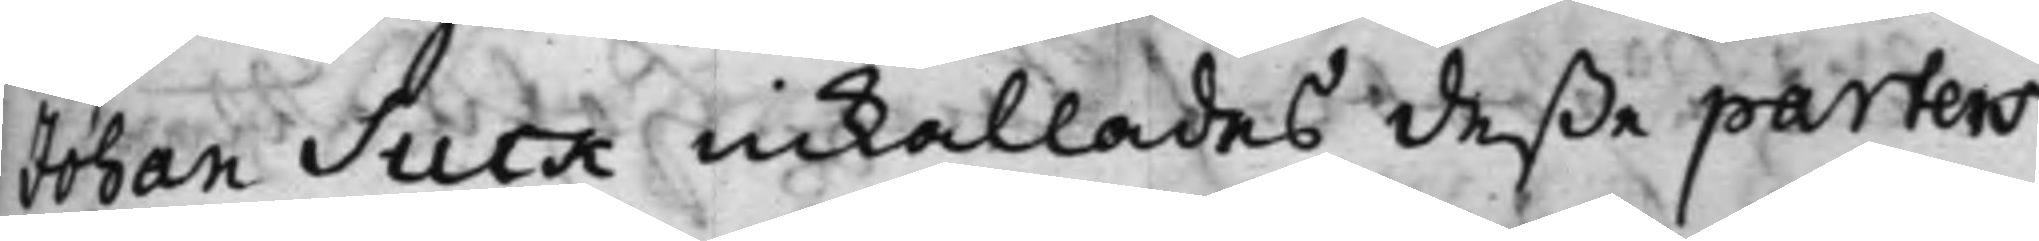Johan Suck inkallades deße parters
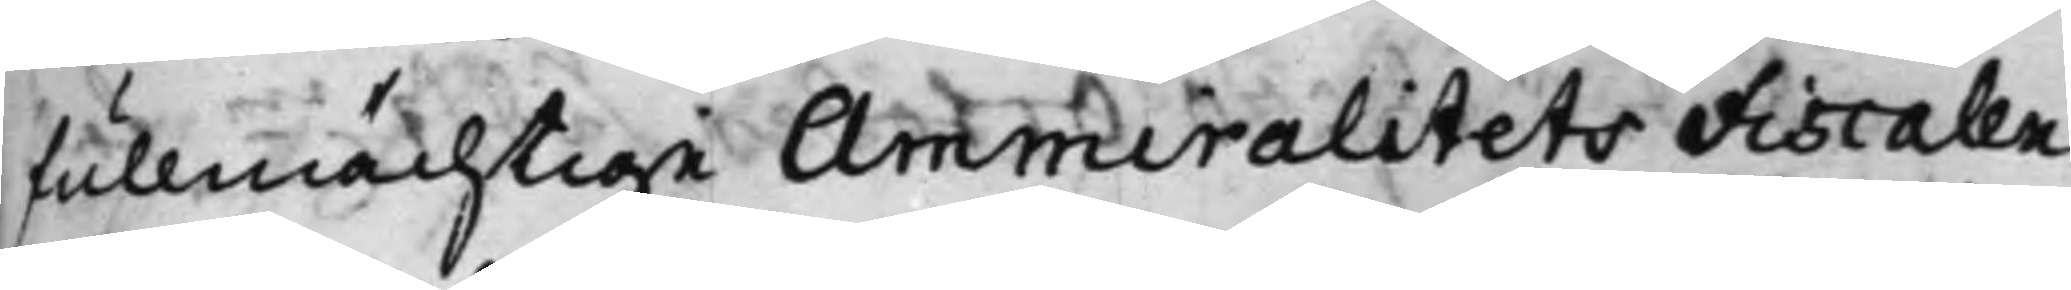fullmächtige Ammiralitets Fiscalen
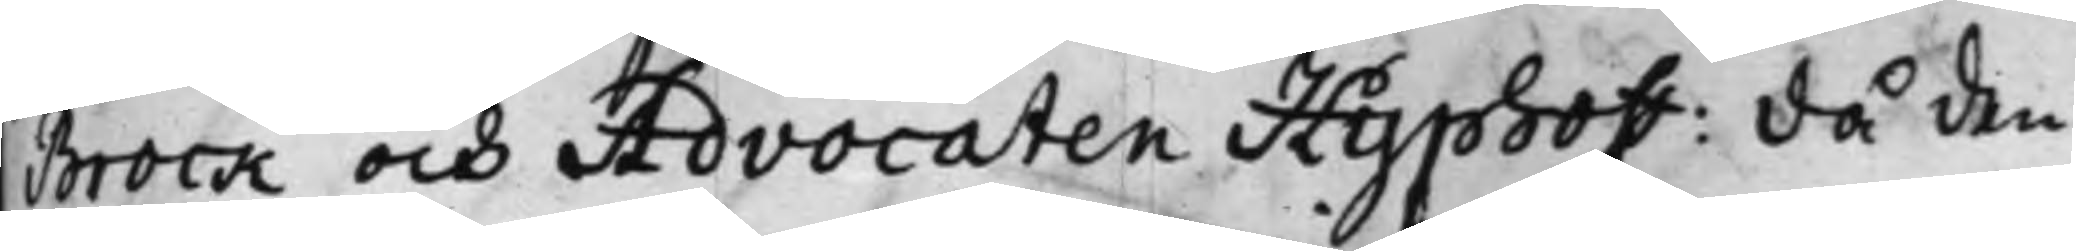Brock och Advocaten Hyphoff: då den
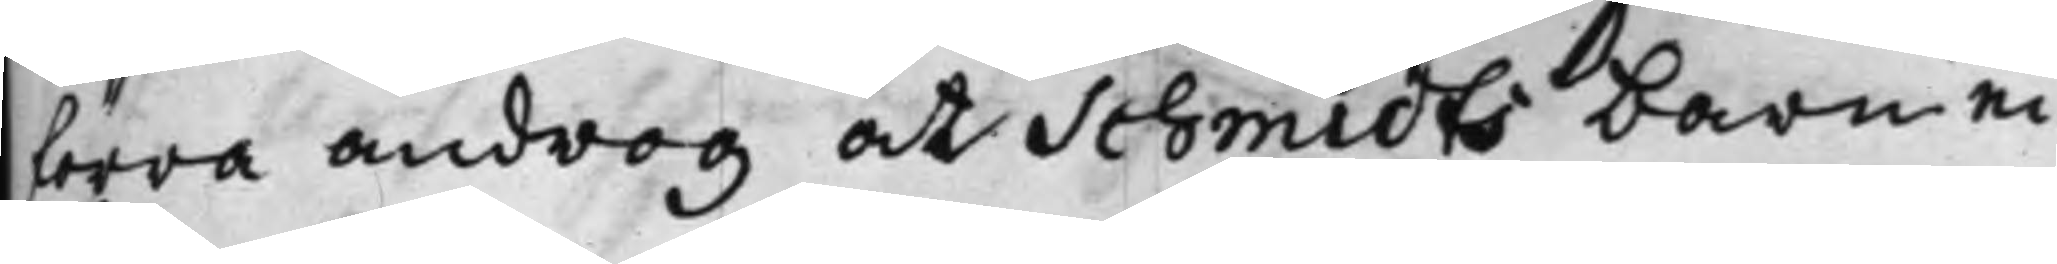förra androg at Schmidts barn ei
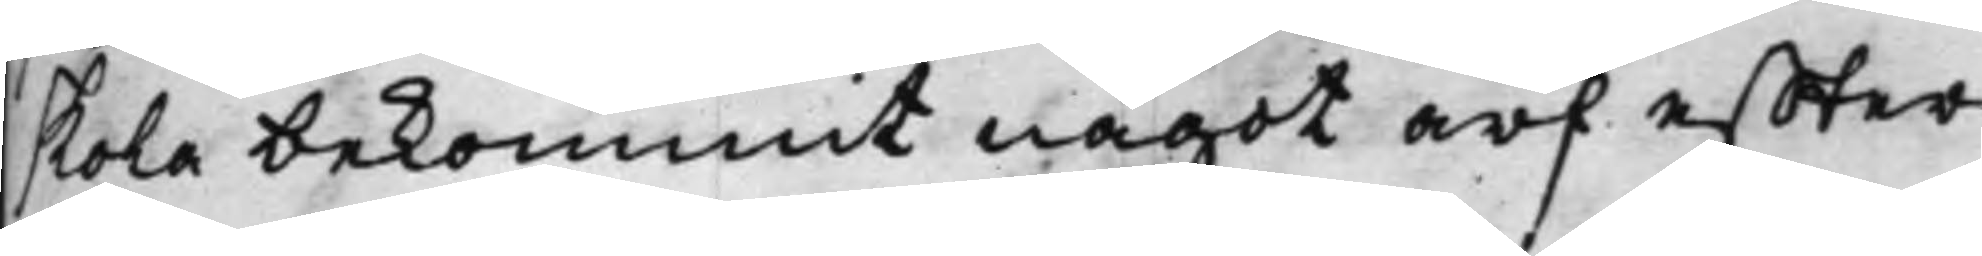skola bekommit något arf effter
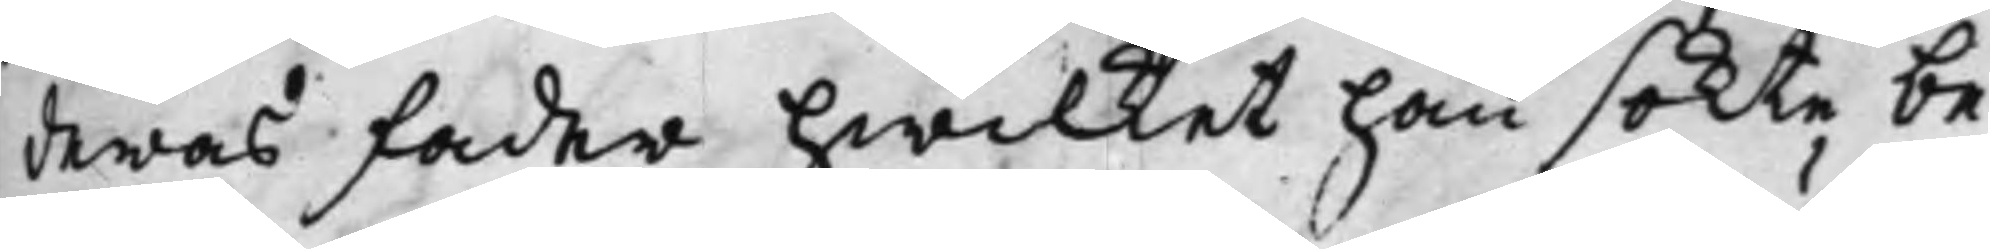deras fader hwilket han sökte be¬
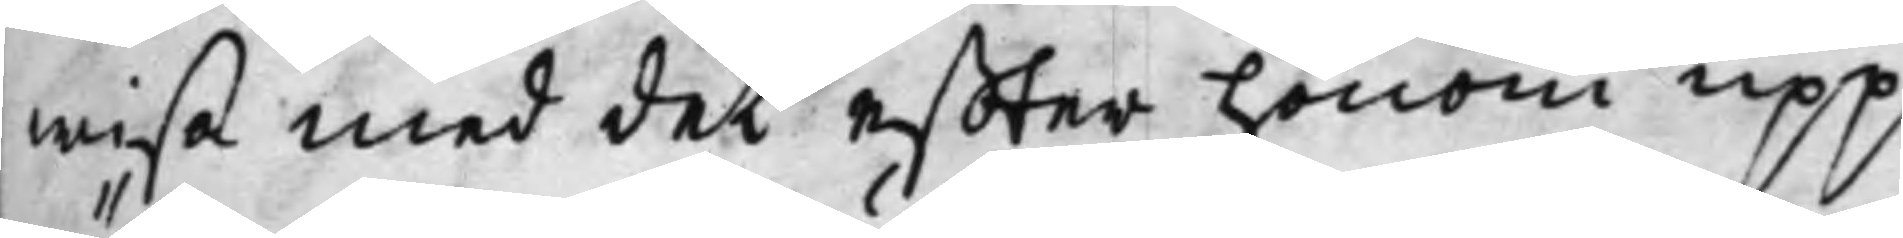wisa med det effter honom upp¬
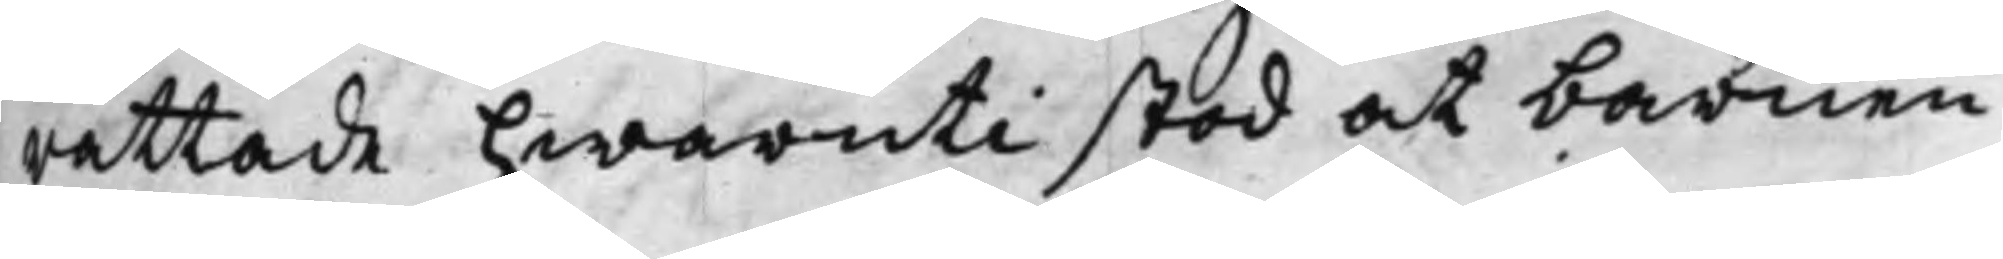rättade hwaruti stod at barnen
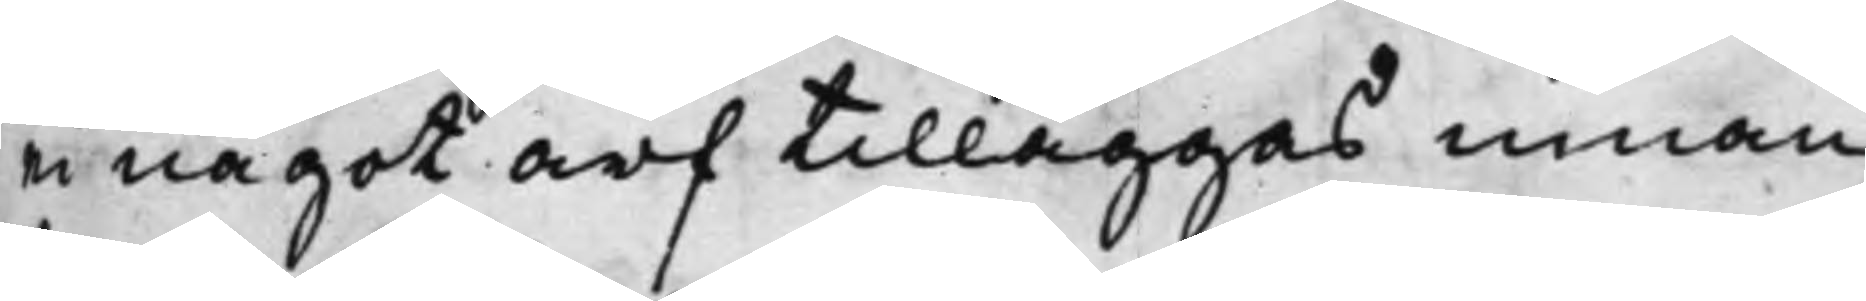ei något arf tilläggas innan
